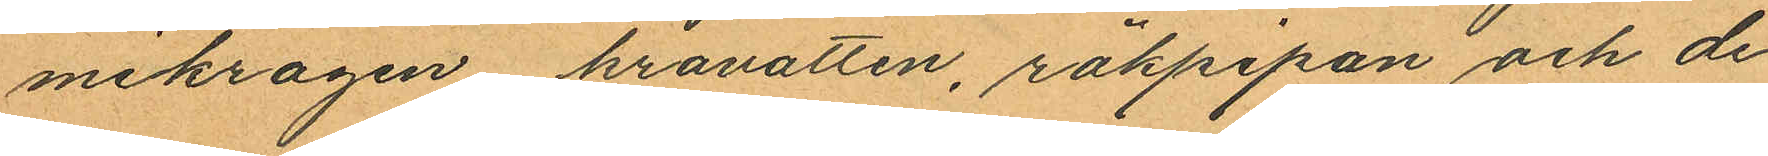mikragen kravatten, rökpipan och de
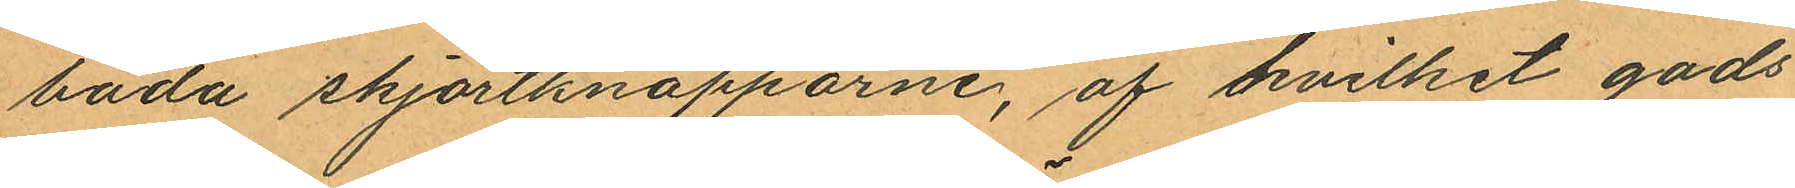bada skjortknapparne, af hvilket gods
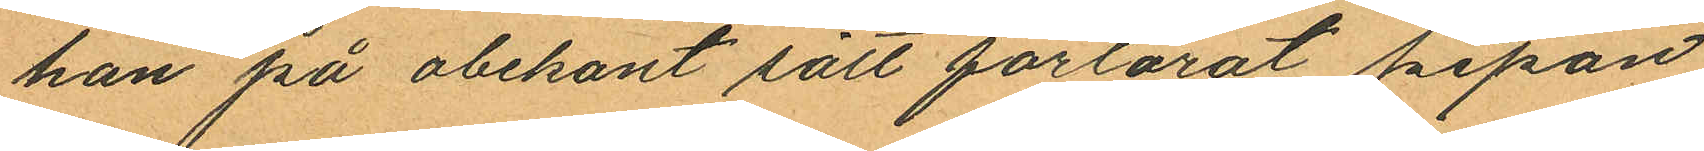han på obekant sätt förlorat pipan
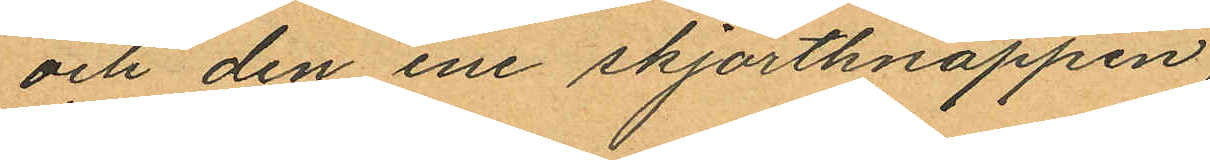och den ene skjortknappen;
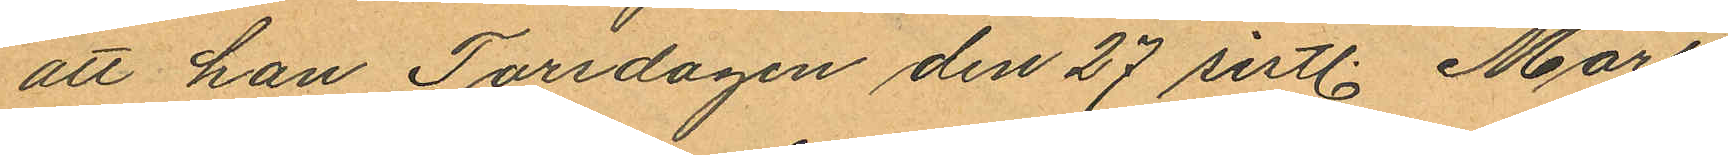att han Torsdagen den 27 sistl. Mars
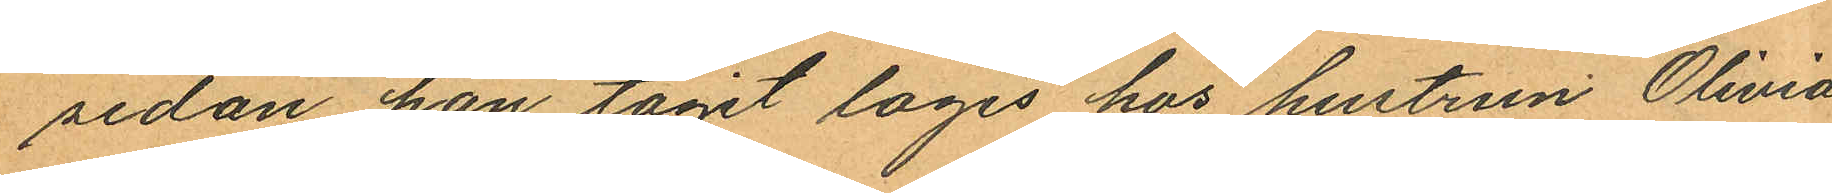sedan han tagit logis hos hustrun Olivia
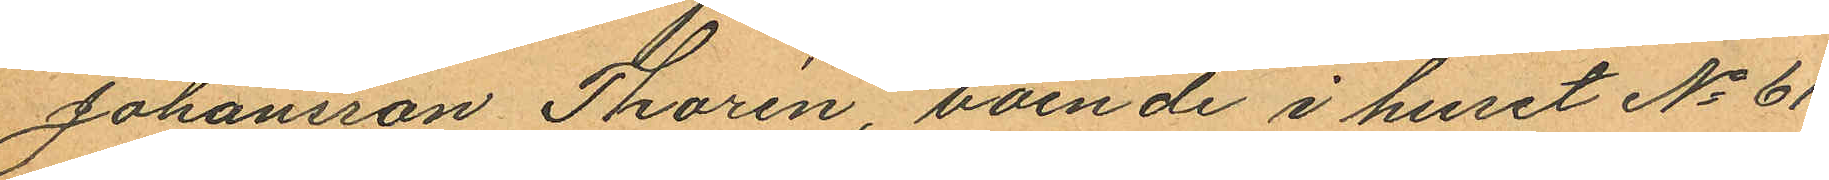Johansson Thorin, boende i huset No 61
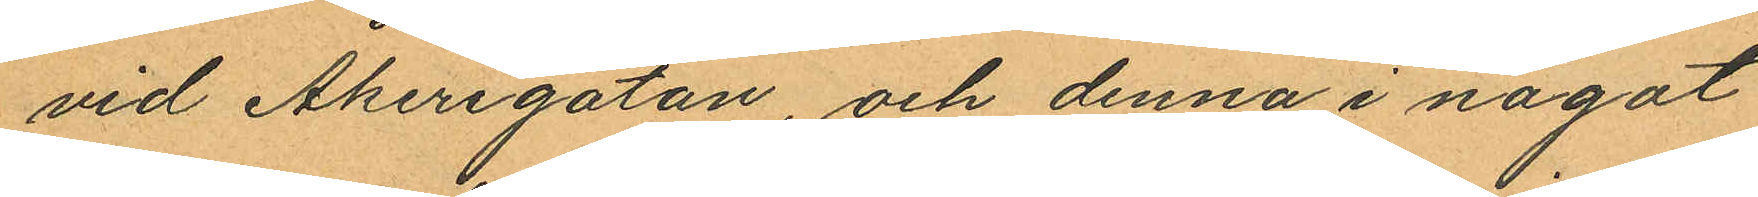vid Åkerigatan, och denna i något
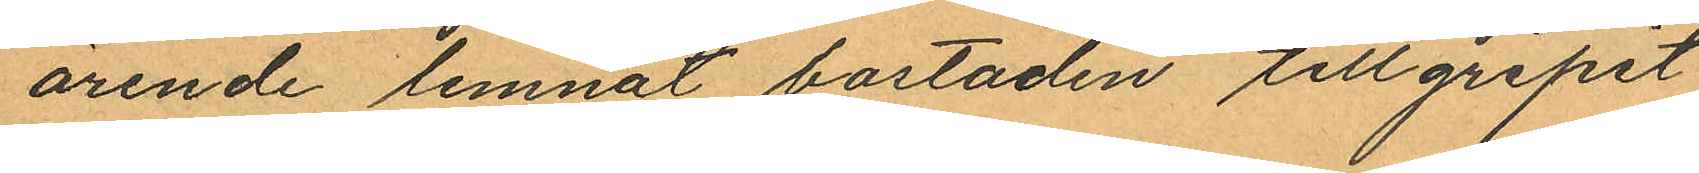ärende lemnat bostaden tillgripit
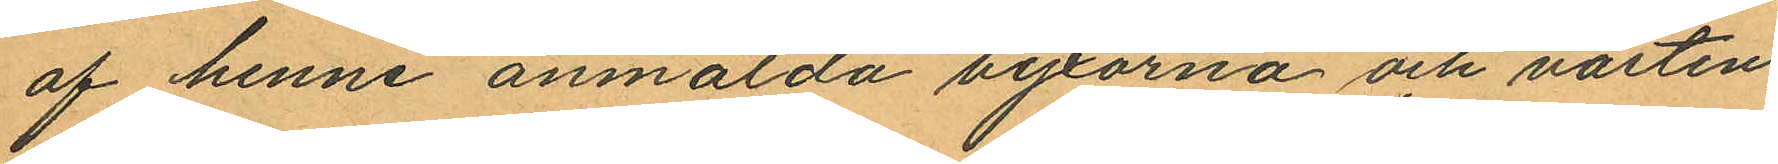af henne anmälda byxorna och västen,
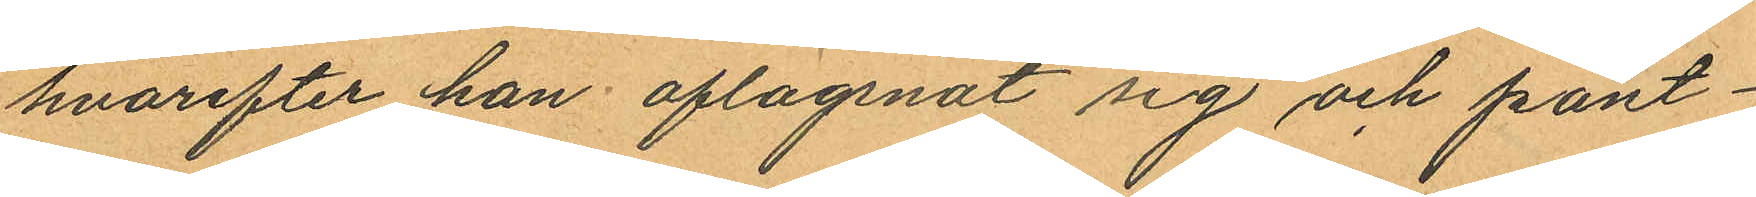hvarefter han aflägsnat sig och pant¬
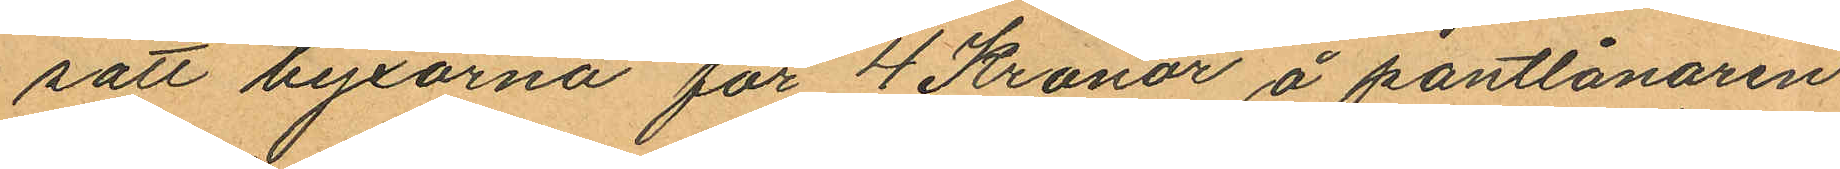satt byxorna för 4 Kronor å pantlånaren
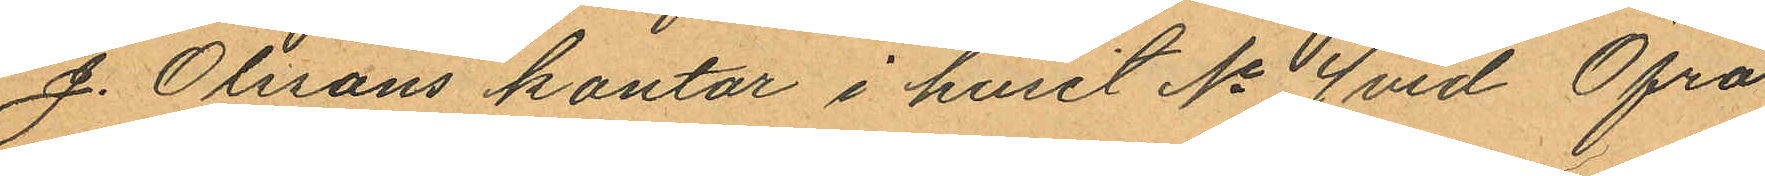J. Olssons kontor i huset No 4 vid Öfra
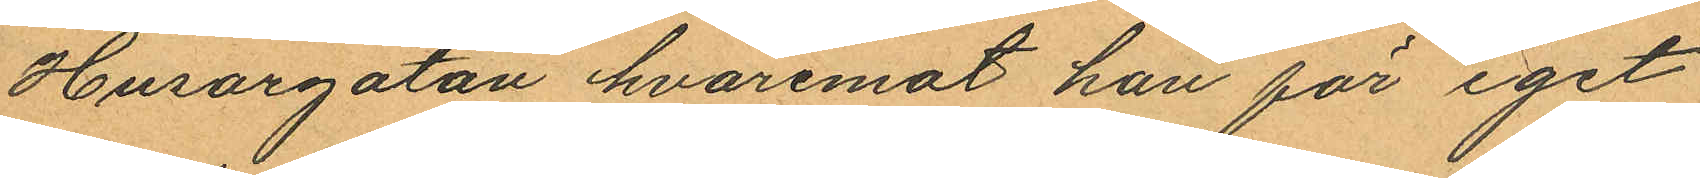Husargatan hvaremot han för eget
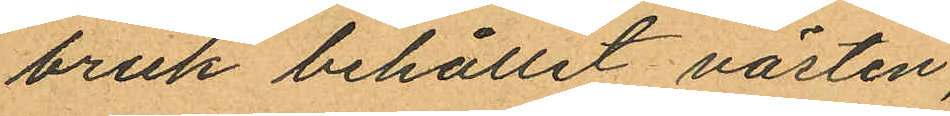bruk behållit västen;
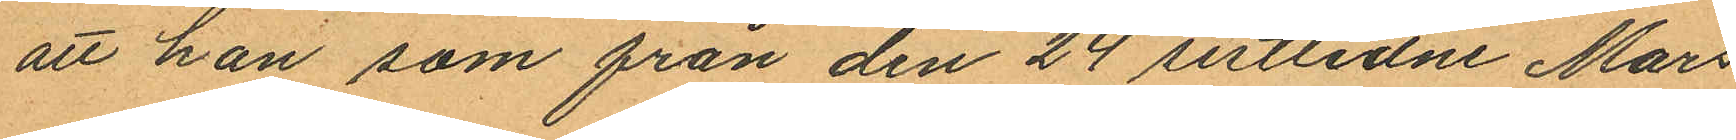att han som från den 24 sistlidne Mars
